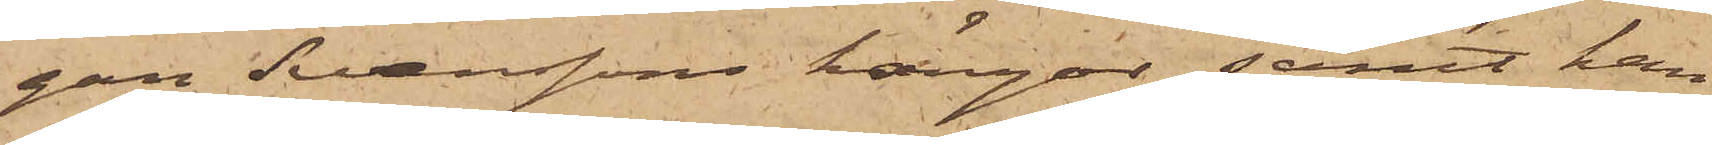gan Svenssons kängor samt han
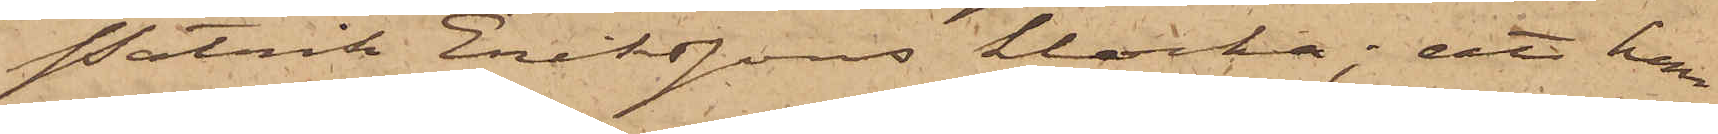Patrik Erikssons klocka; att han
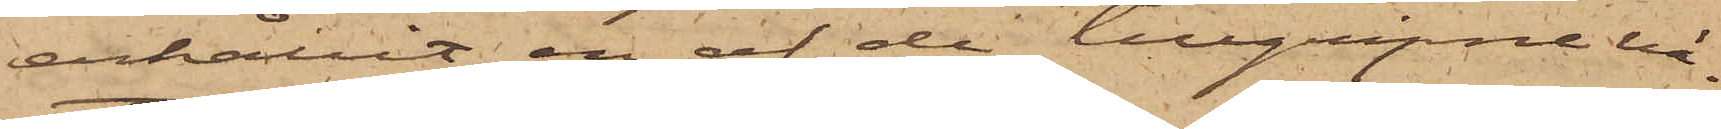erhållit en af de tillgripne vä¬
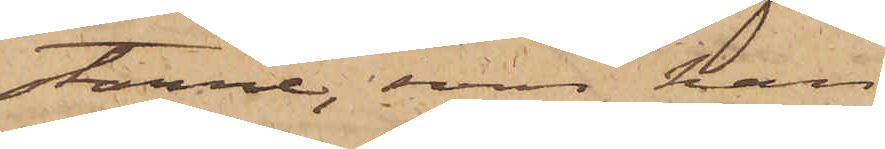starne, som han
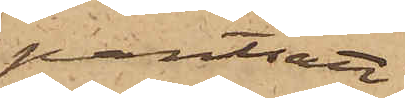pantsatt
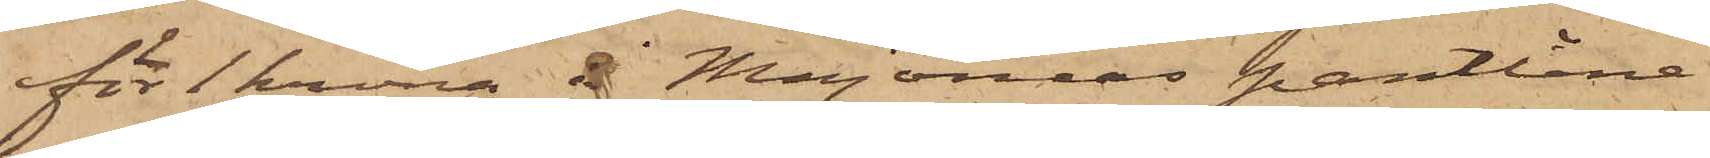för 1 krona å Majornas pantlåne¬
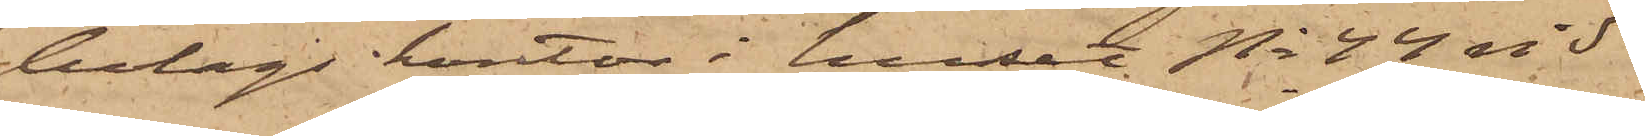bolags kontor i huset No 44 vid
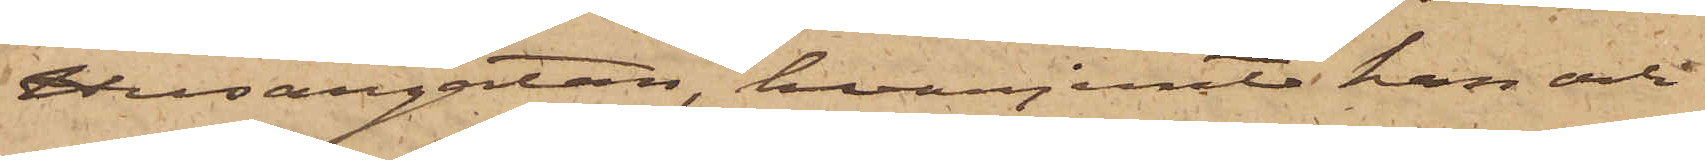Husargatan, hvarjemte han och
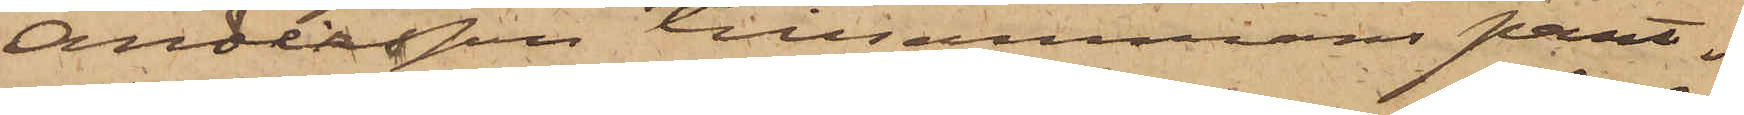Andersson tillsammans pant¬
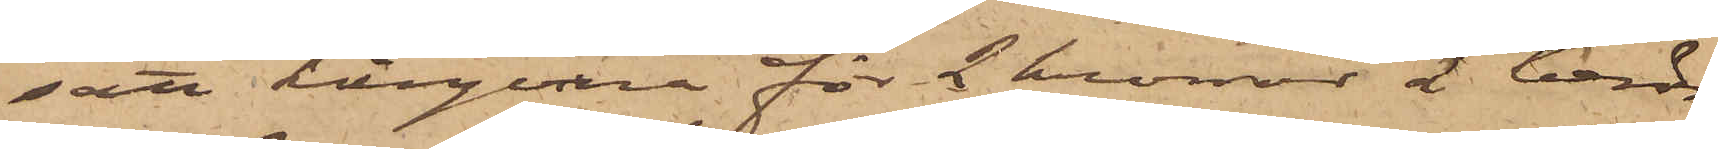satt kängorna för 2 kronor å berör¬
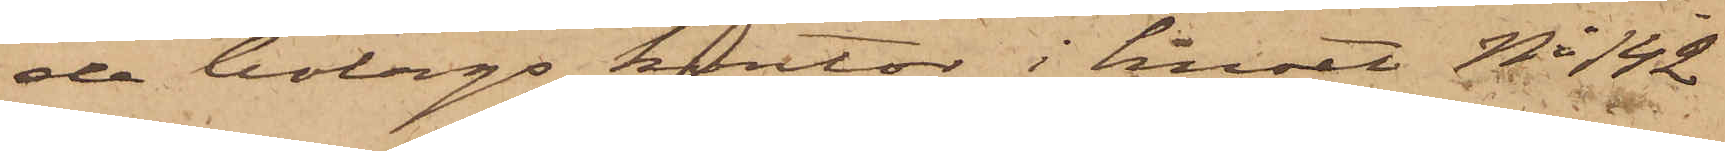de bolags kontor i huset No 142
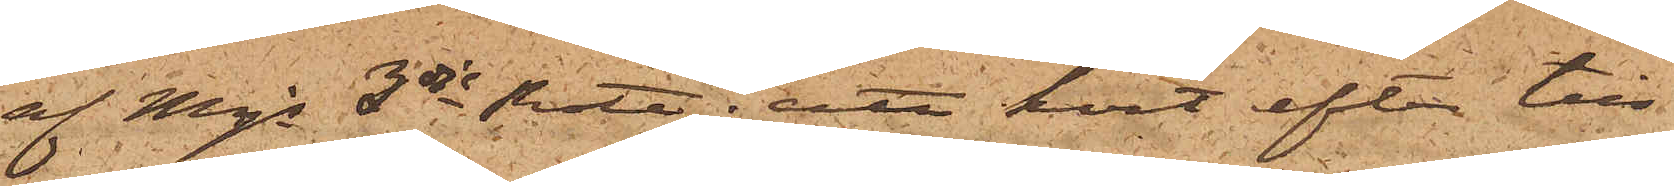af Mjs 3dje Rote; att kort efter till¬
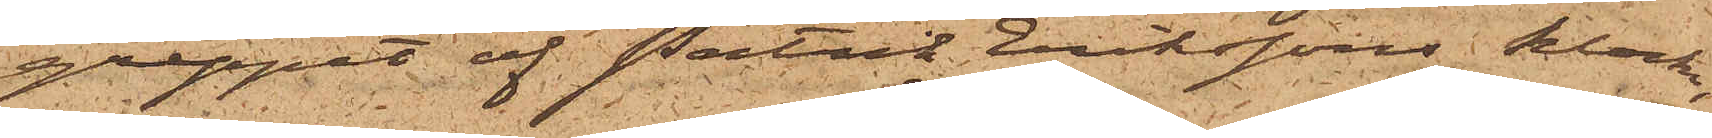greppet af Patrik Erikssons klocka,
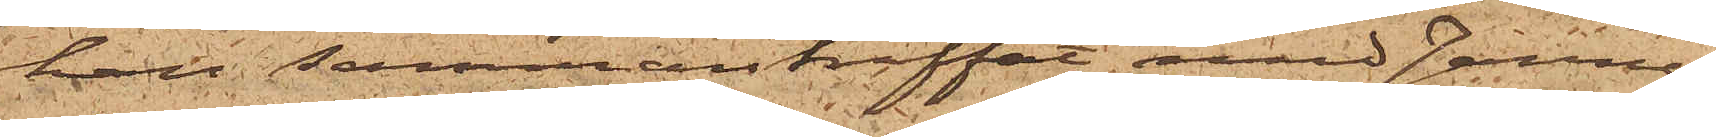han sammanträffat med Janne,
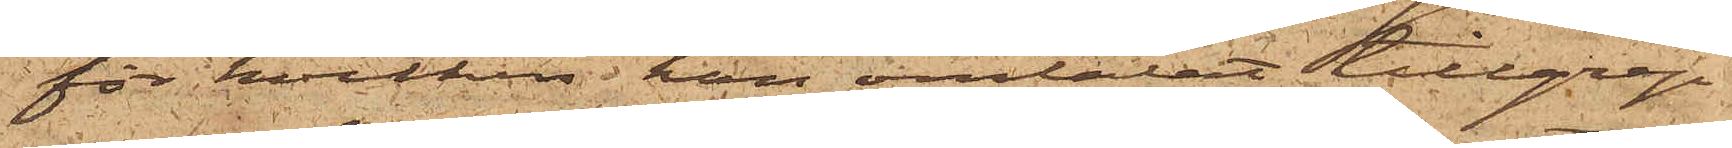för hvilken han omtalat tillgrep¬
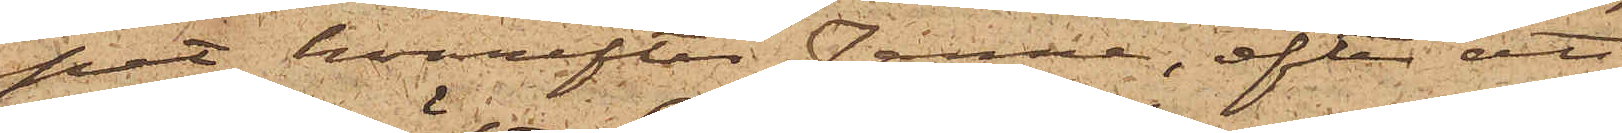pet, hvarefter Janne, efter att
